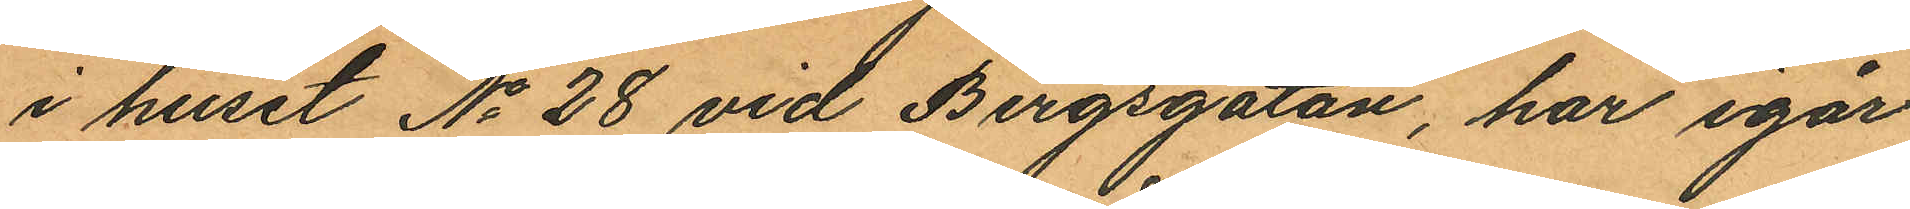i huset No 28 vid Bergsgatan, har igår
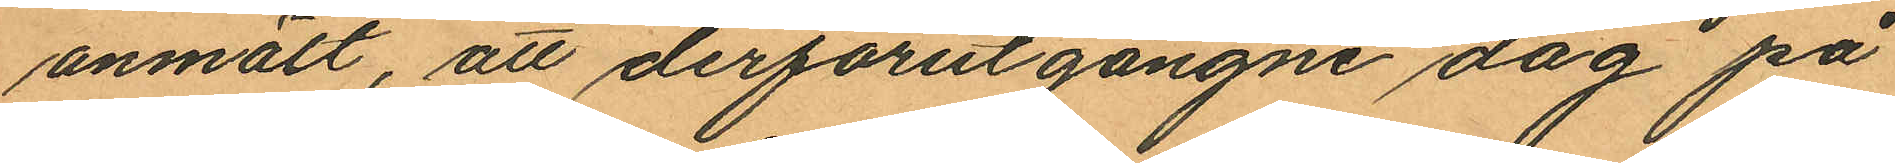anmält, att derförutgångne dag på
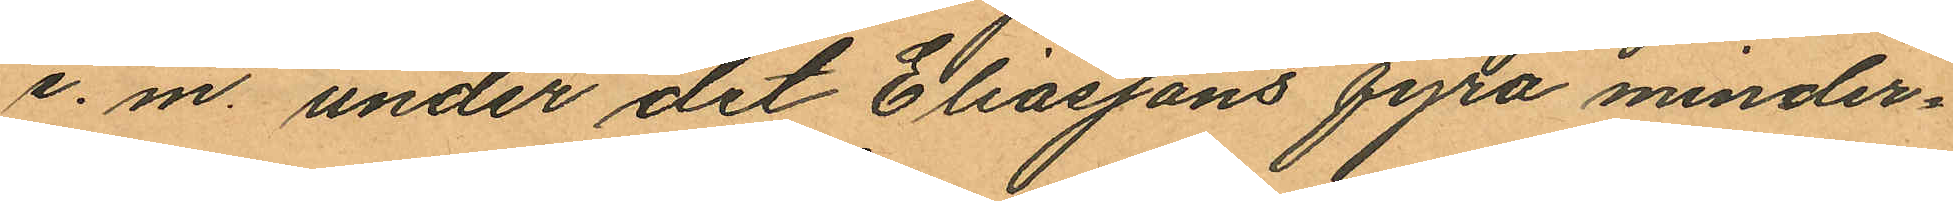e. m. under det Eliassons fyra minder¬
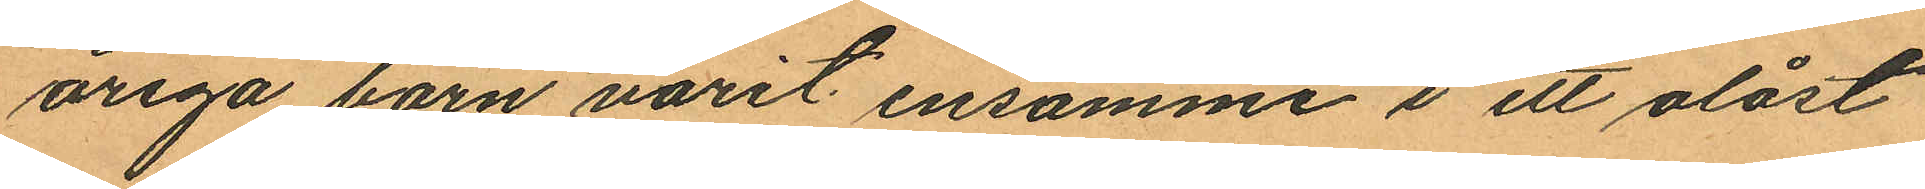åriga barn varit ensamme i ett olåst
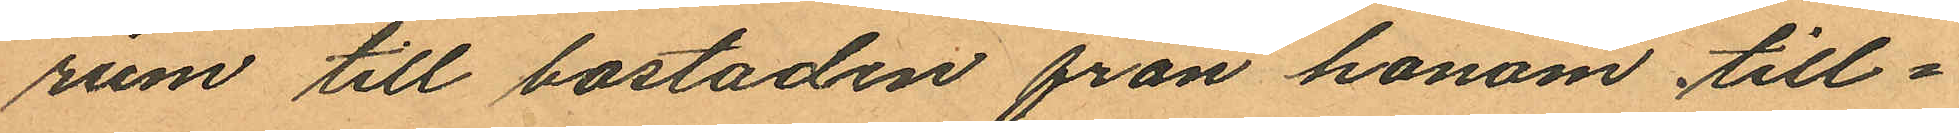rum till bostaden från honom till¬
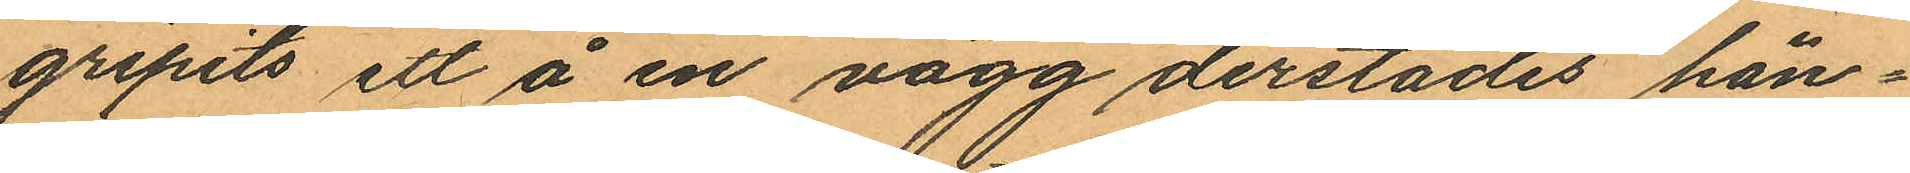gripits ett å en vägg derstädes hän¬
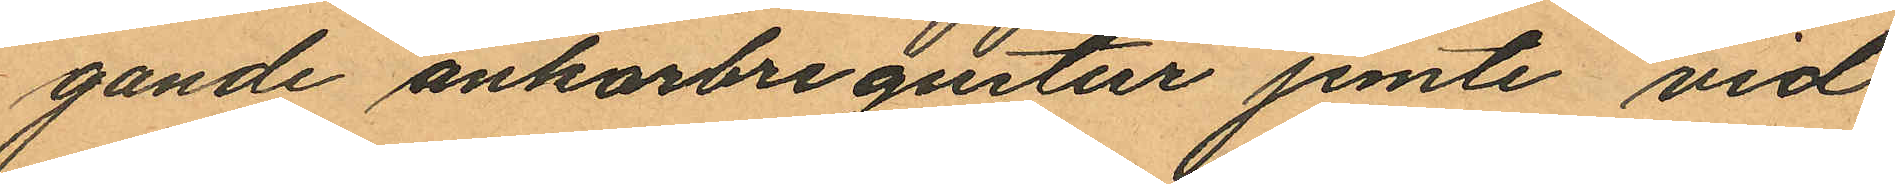gande ankarbregustur jemte vid
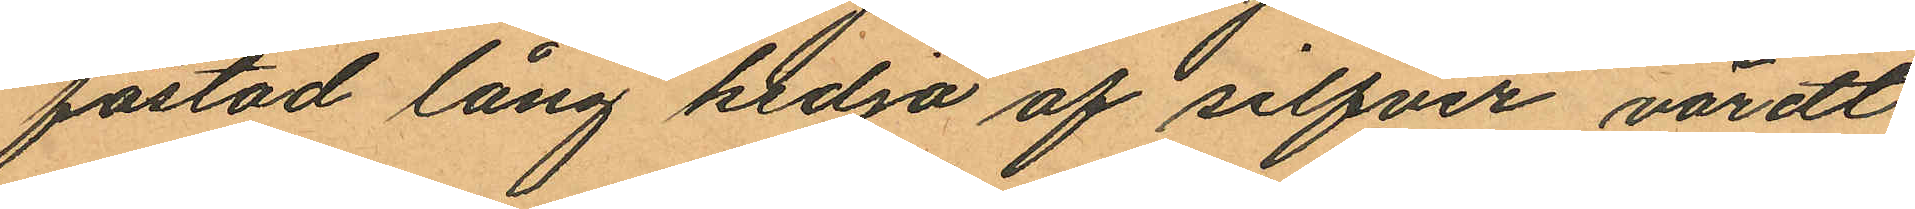fästad lång kedja af silfver värdt
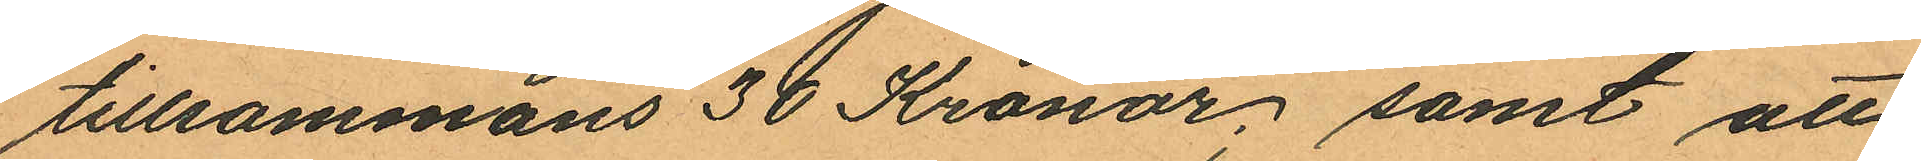tillsammans 30 Kronor; samt att
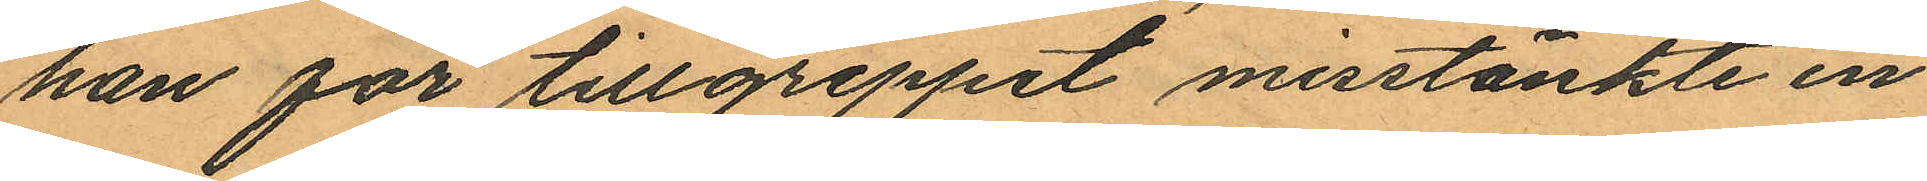han för tillgreppet misstänkte en
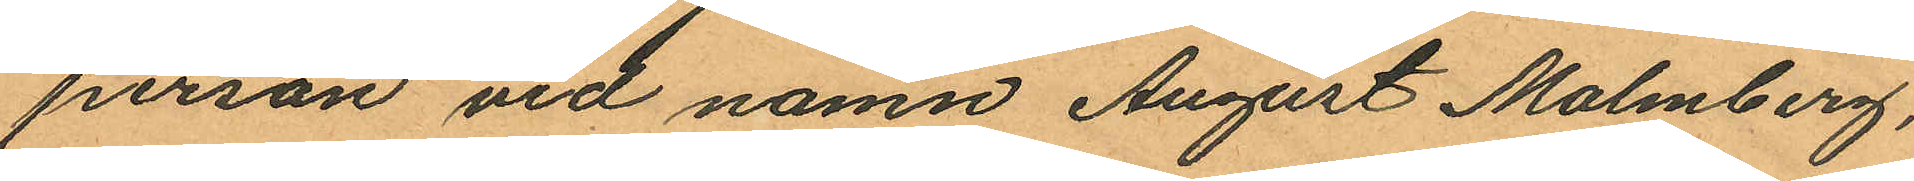person vid namn August Malmberg,
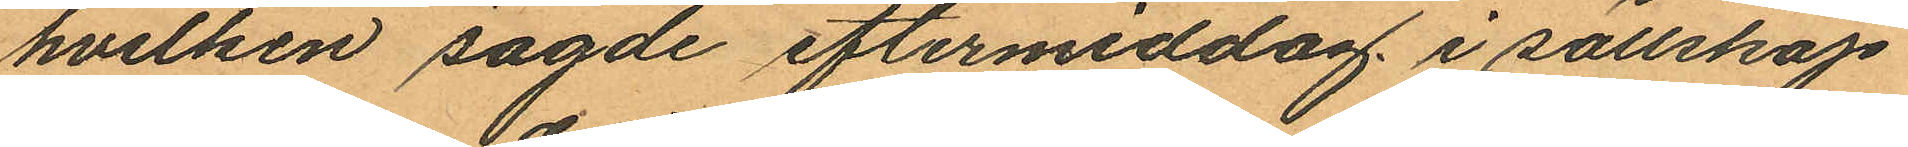hvilken sagde eftermiddag, i sällskap
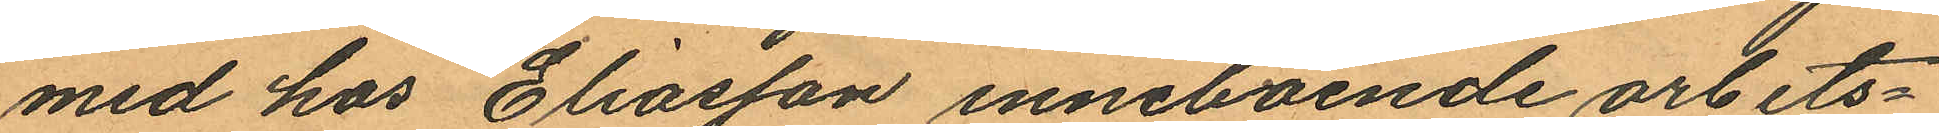med hos Eliasson inneboende artbets¬
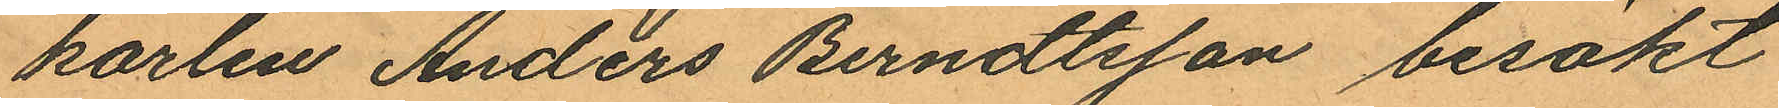karlen Anders Berndtsson besökt
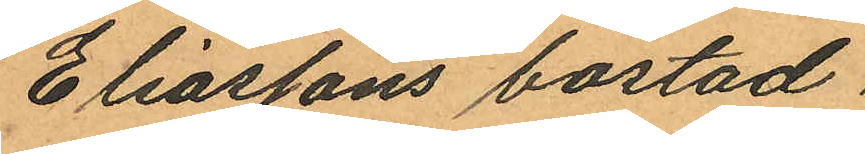Eliassons bostad.
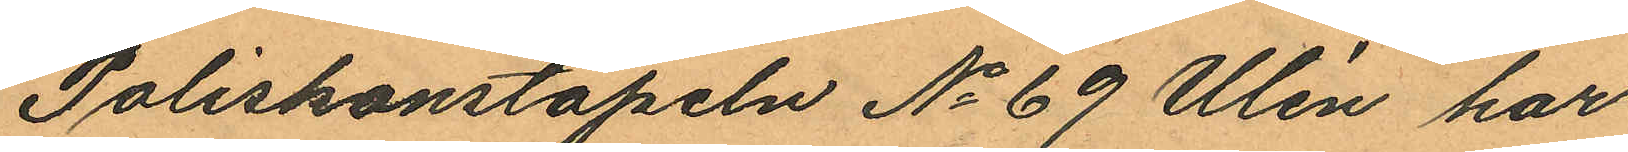Poliskonstapeln No 69 Ulén har
